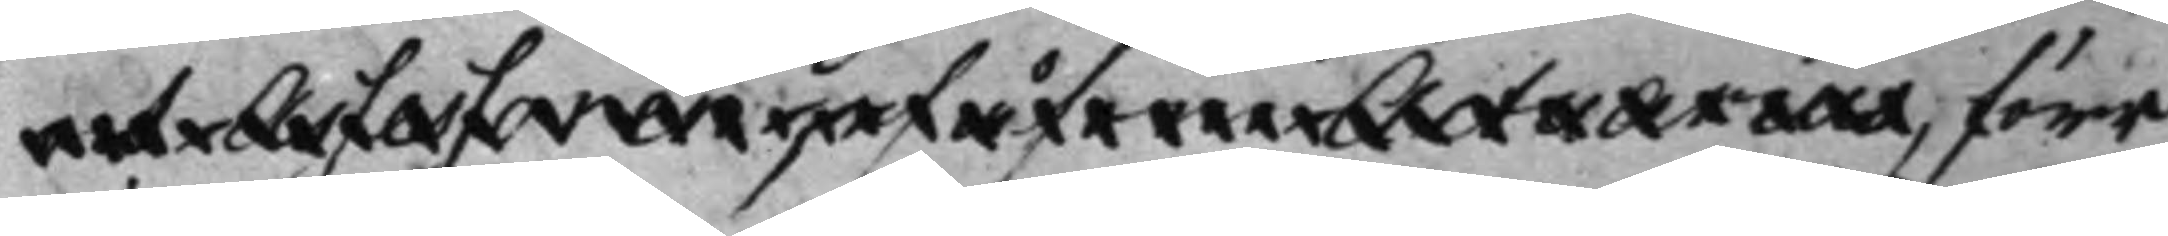och Assessoren, såsom Actuarius, förr
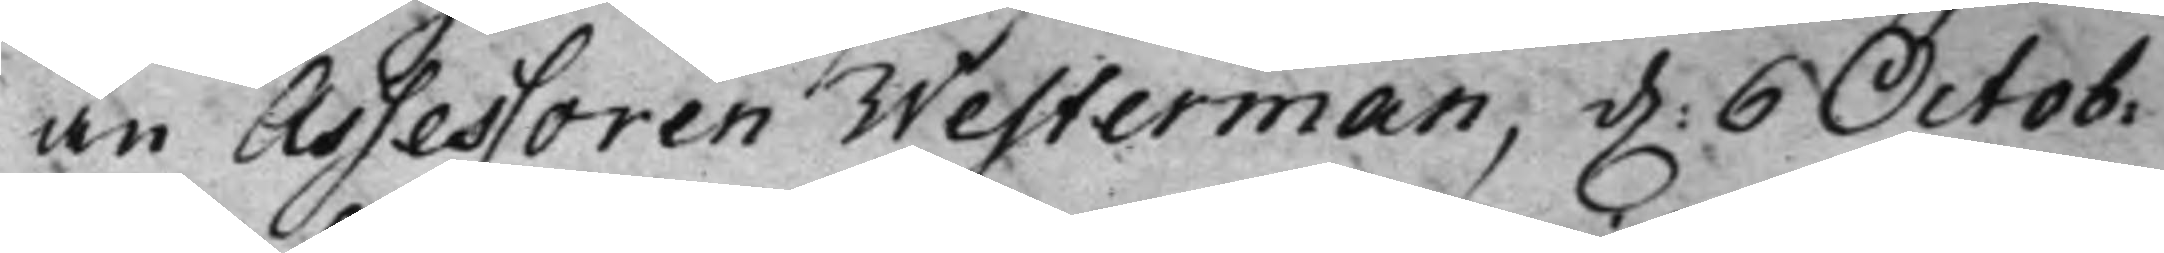än Assessoren Westerman, d. 6 Octob:
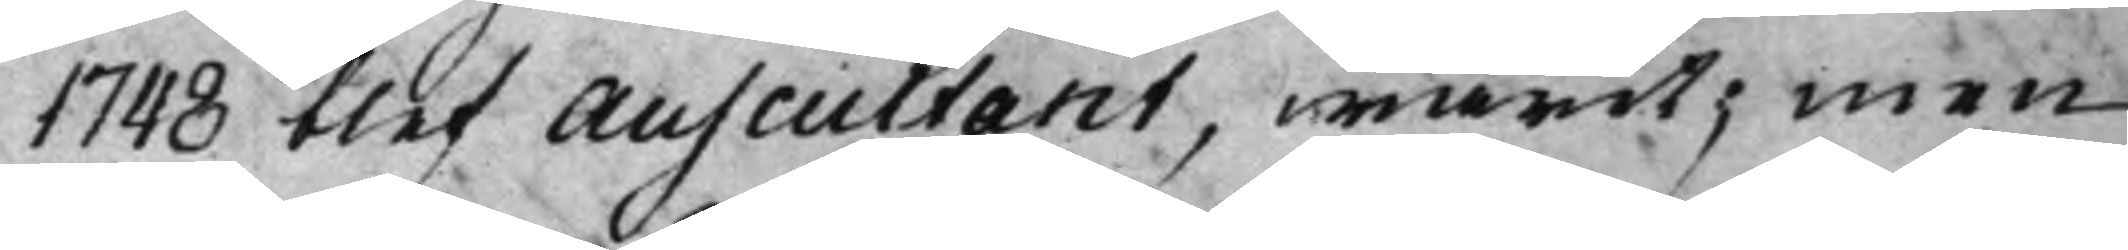1748 blev Auscultant, warit; men
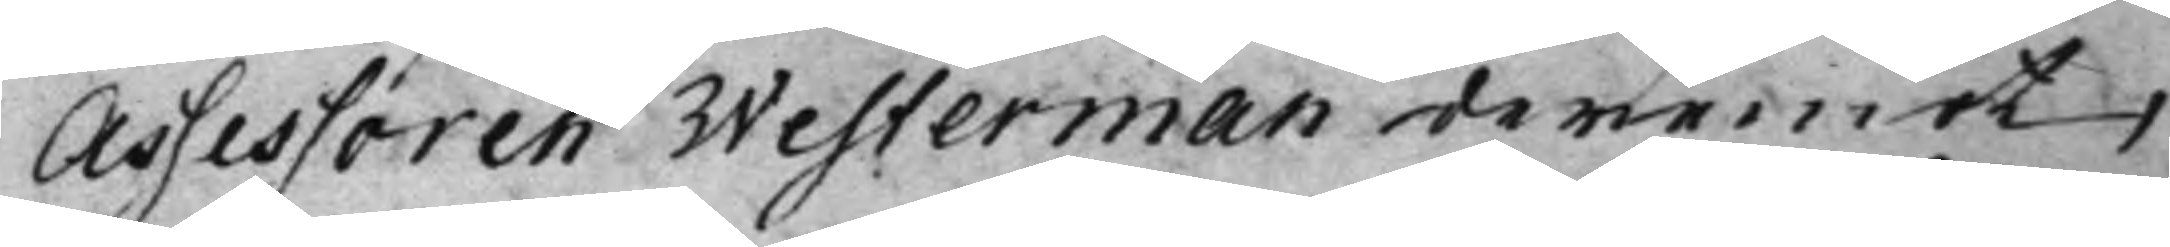Assessoren Westerman deremot,
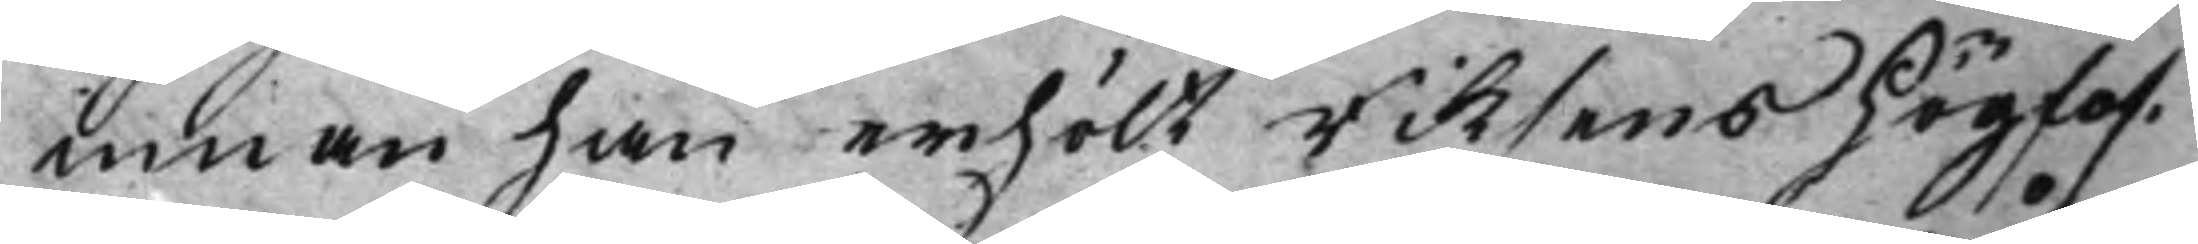innan han anhölt Riksens Höglof¬
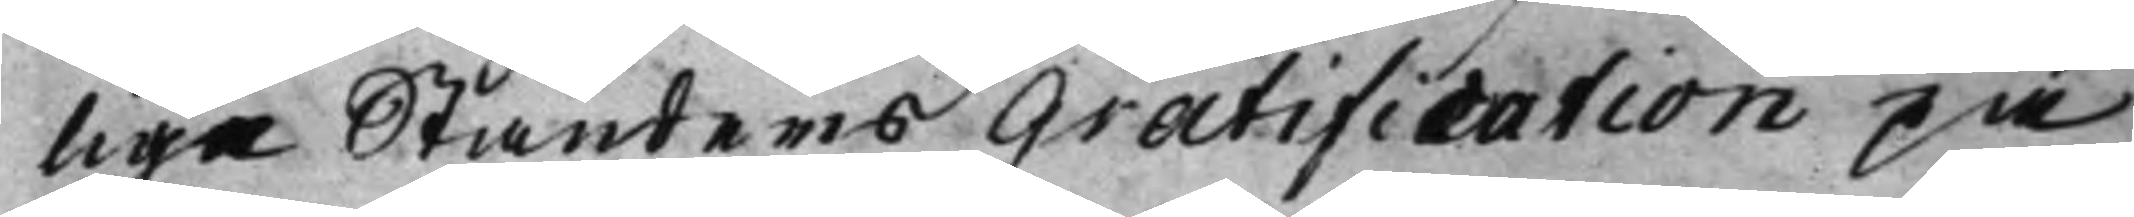lige Ständers Gratification på
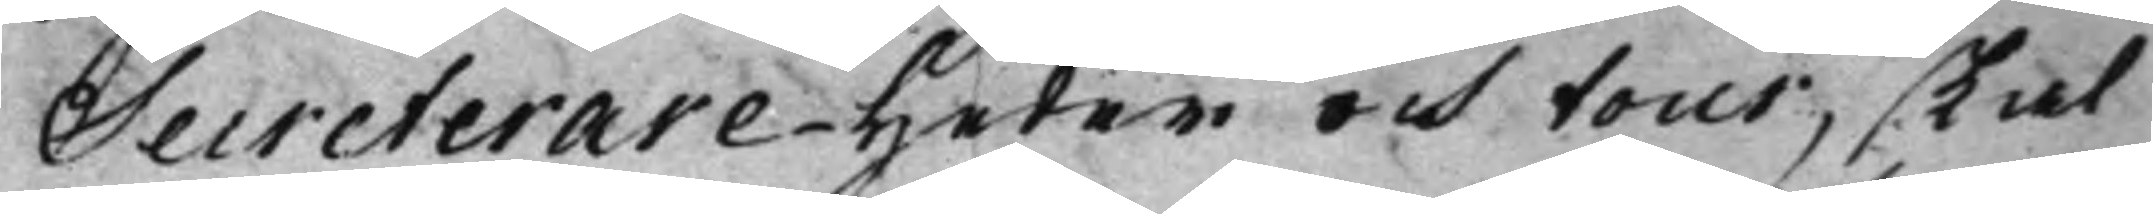Secreterare-Heder och tour, skal
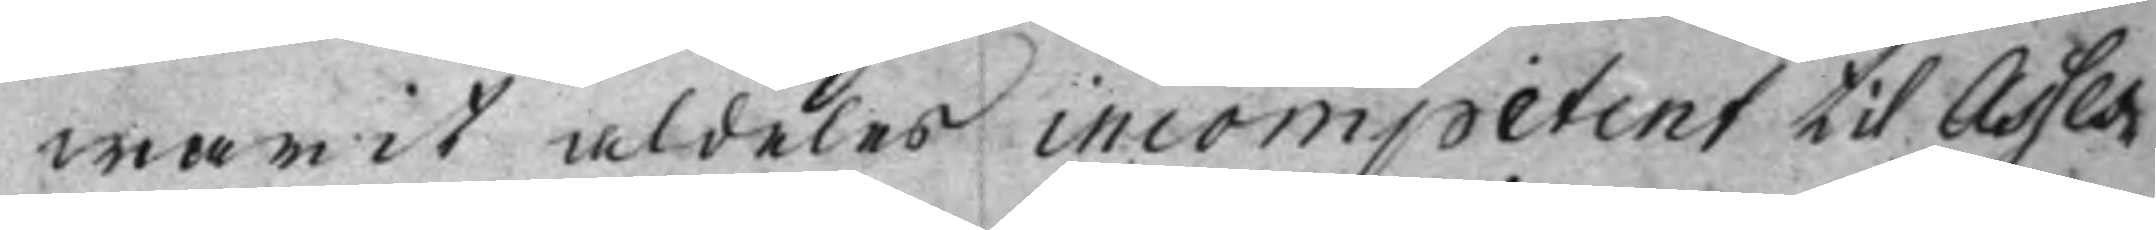warit aldeles incompetent til Asses¬
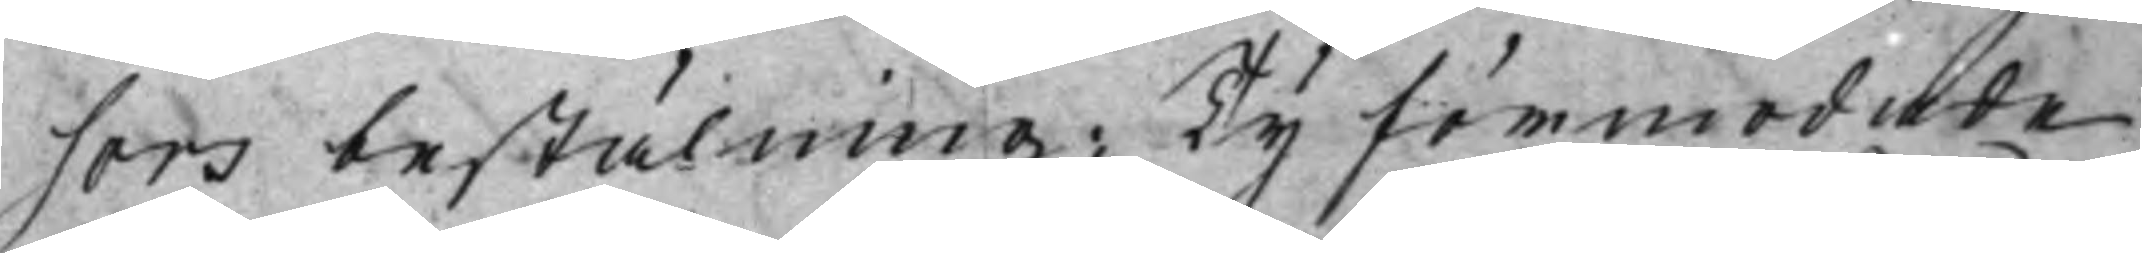sors bestälning; Ty förmodade
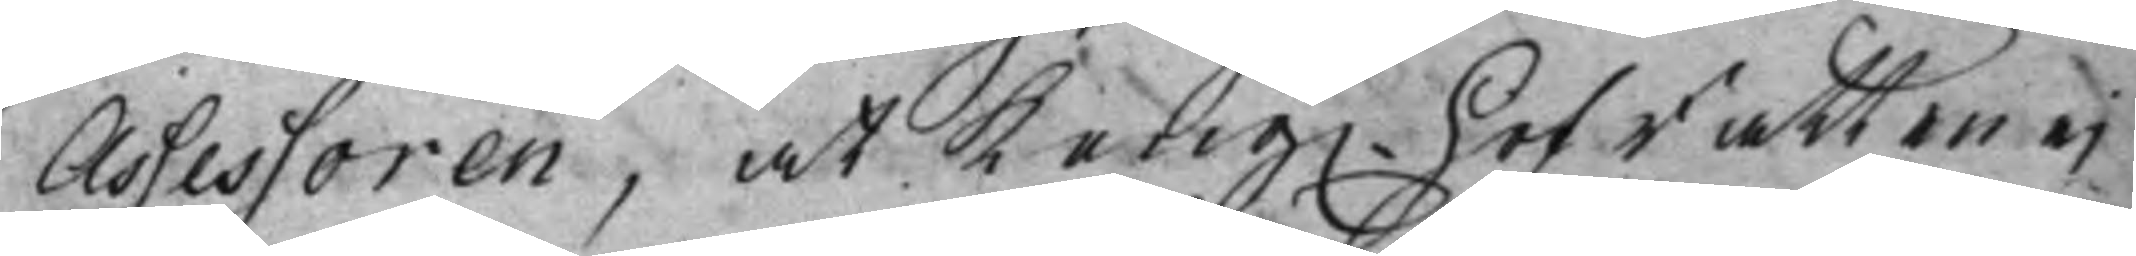Assessoren, at Kong. HofRätten ej
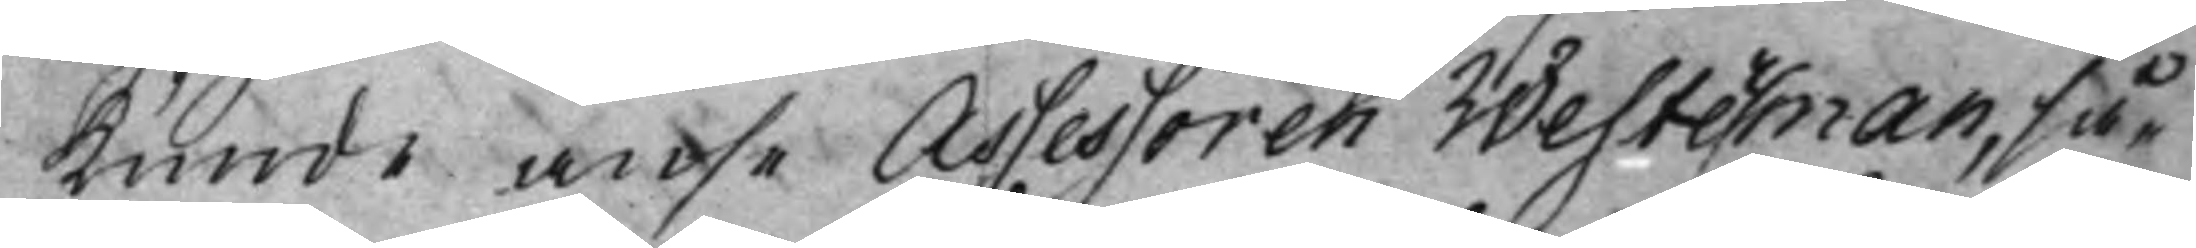Kunde anse Assessoren Westerman, så¬
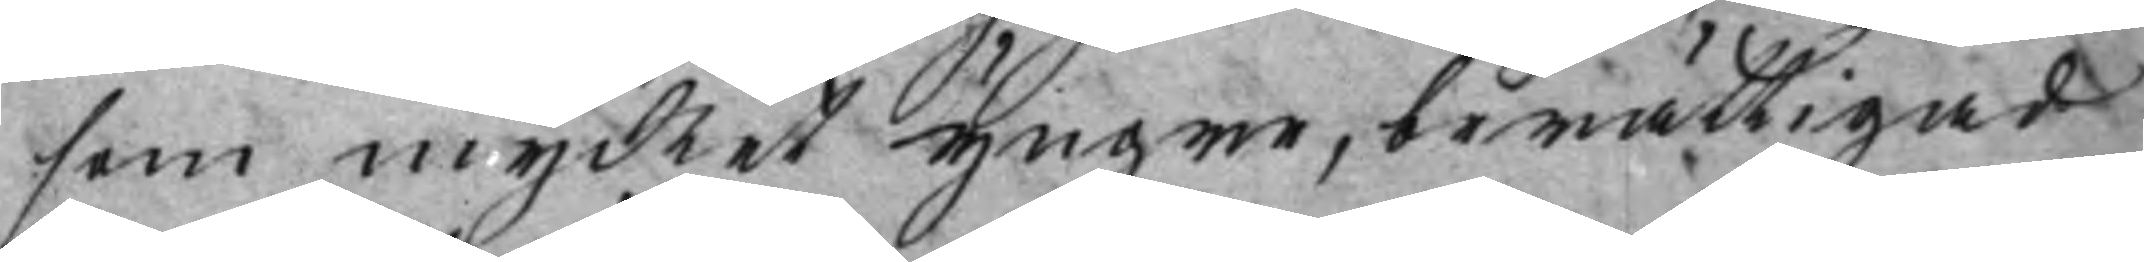som mycket yngre, berättigad
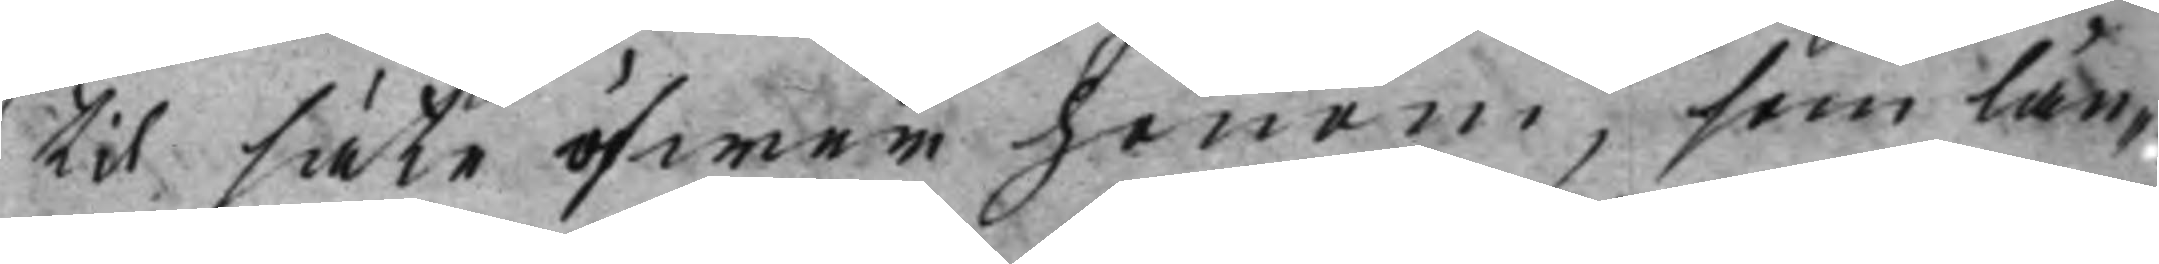til säte öfwer honom, som län¬
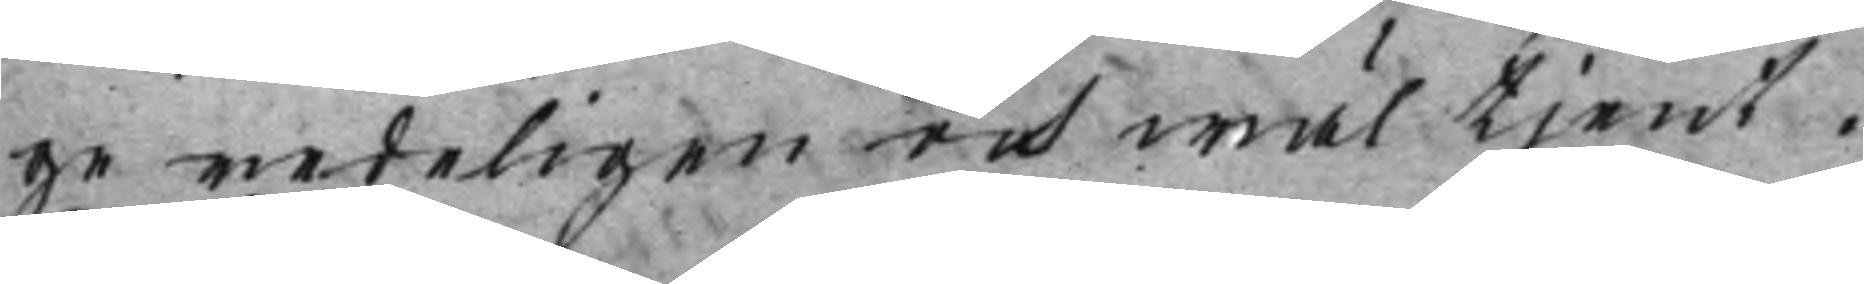ge redeligen och wäl tjent.
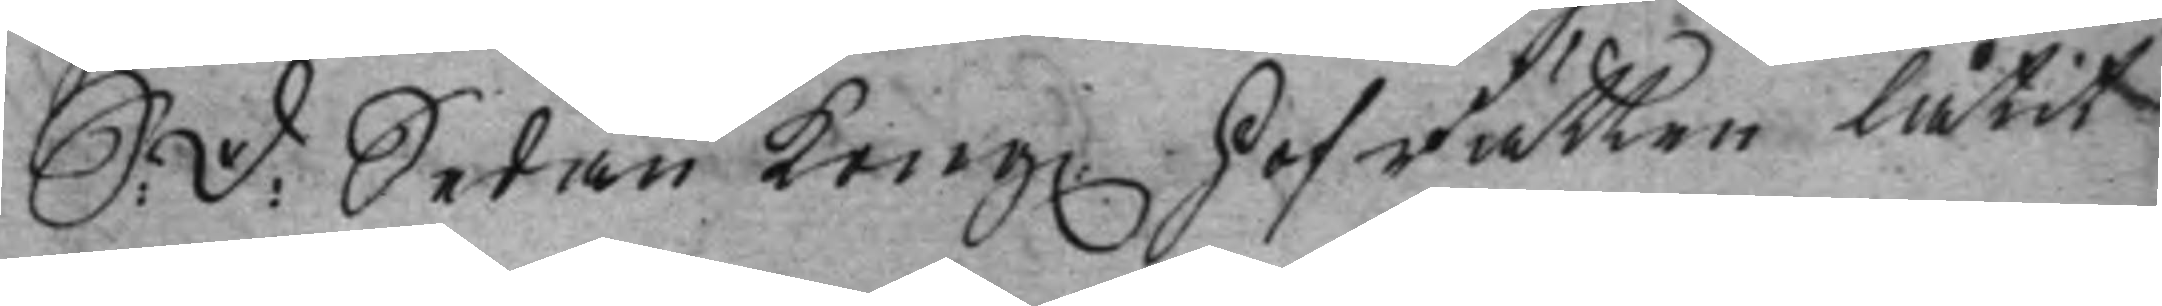S: D: Sedan Kong. HofRätten låtit
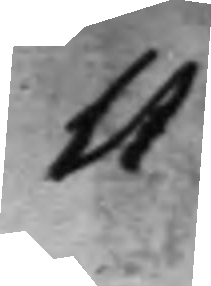11
